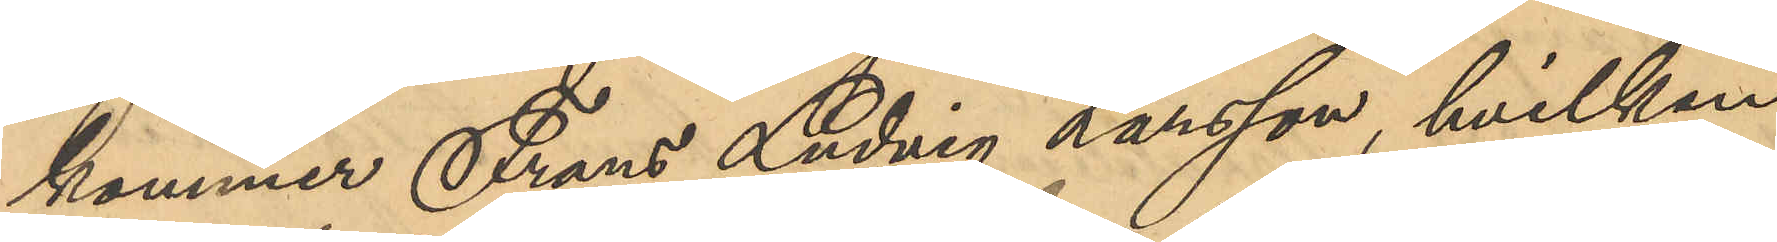kommer Frans Ludvig Larsson, hvilken
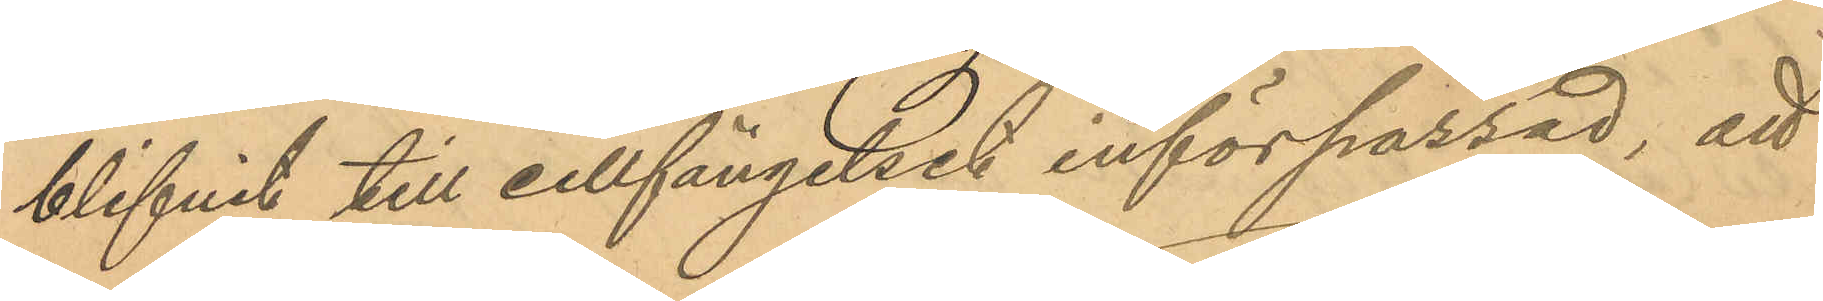blifvit till cellfängelset införpassad att
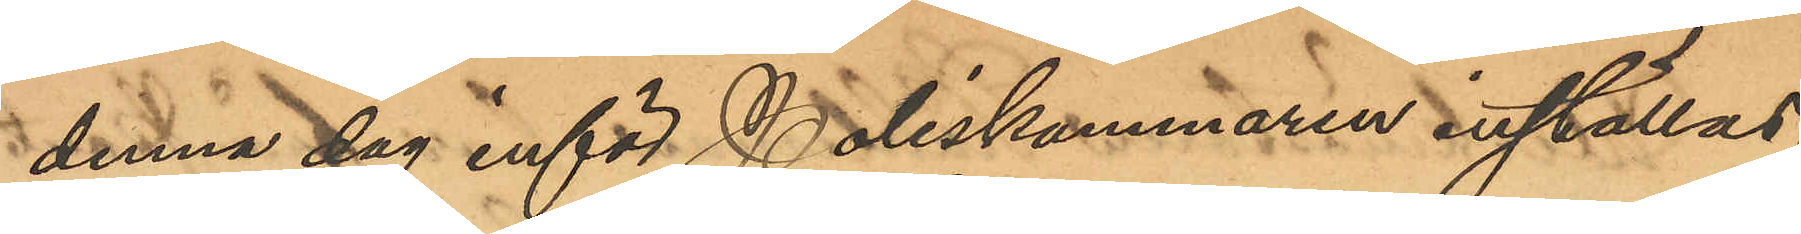denna dag inför Poliskammaren inställas.
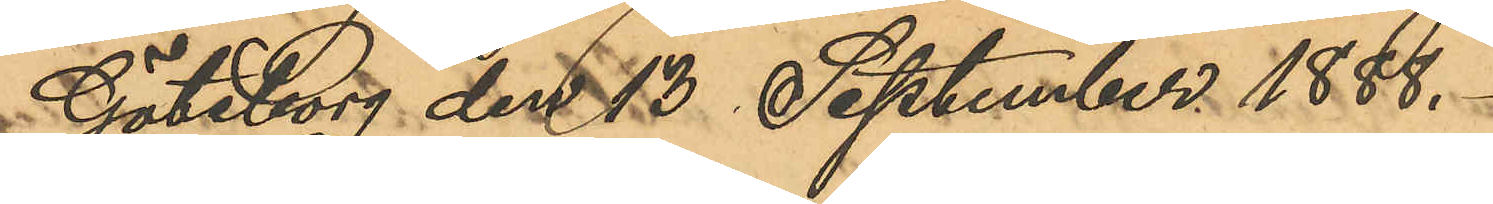Göteborg den 13 September 1888.
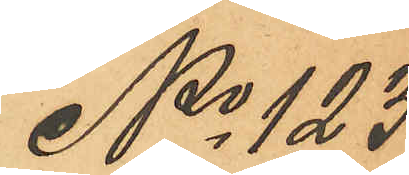No 123
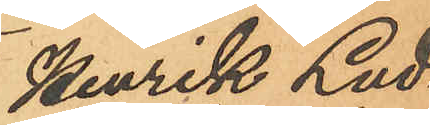Henrik Lud¬
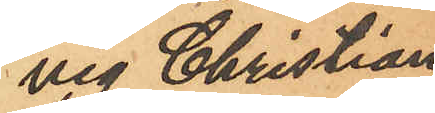vig Christian
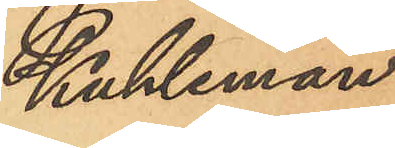Kuhleman.
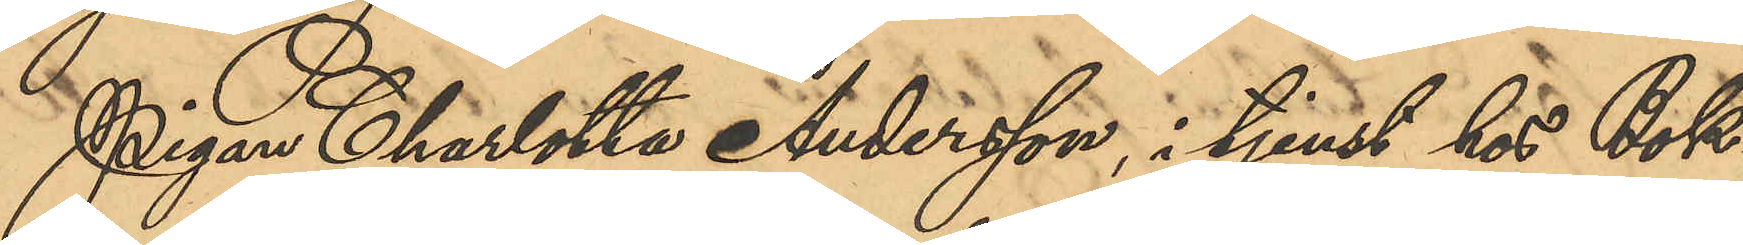Pigan Charlotta Andersson, i tjenst hos Bok¬
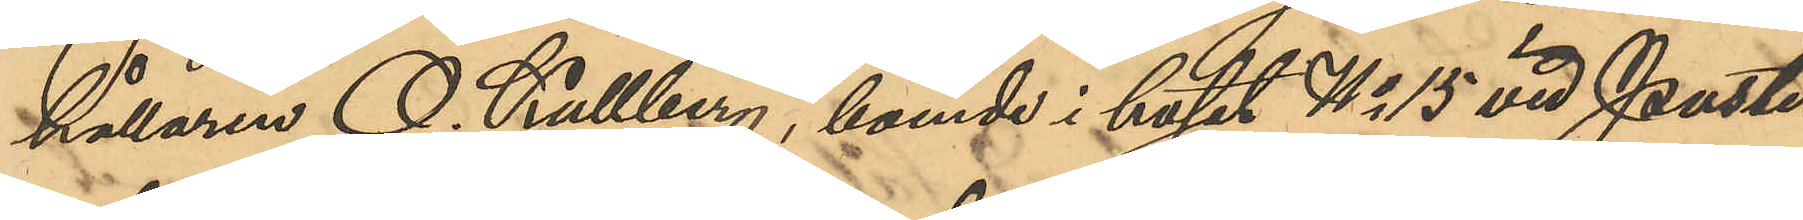hållaren O. Kullberg, boende i huset No 15 vid Puster¬
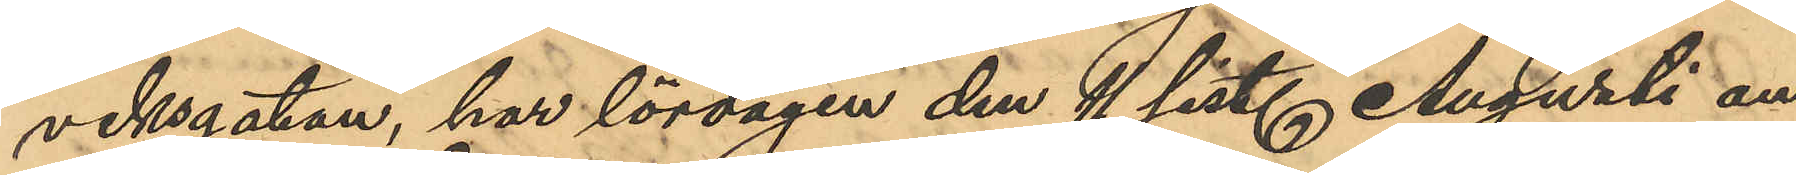viksgatan, har lördagen den 11 sist. Augusti an¬
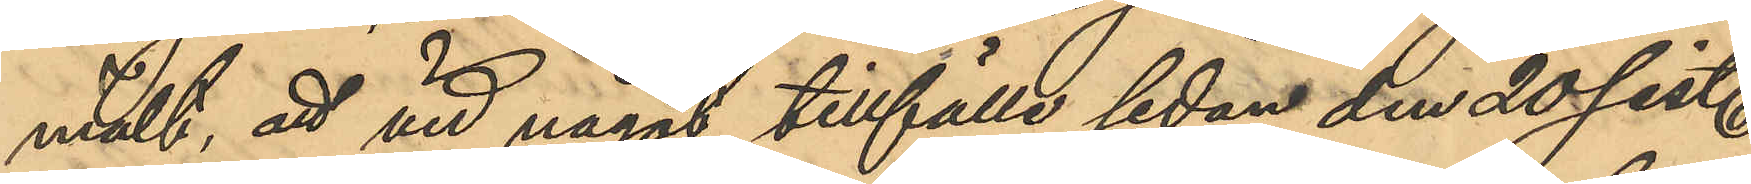mält, att vid något tillfälle sedan den 20 sist.
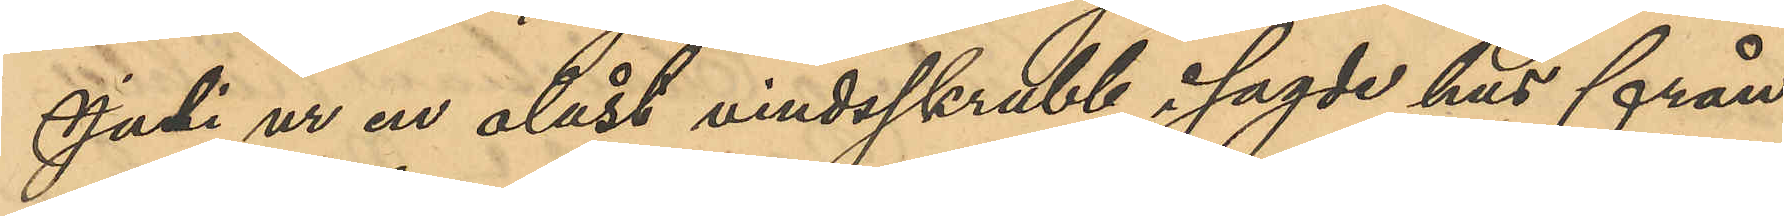Juli ur en olåst vindsskrubb i sagde hus från
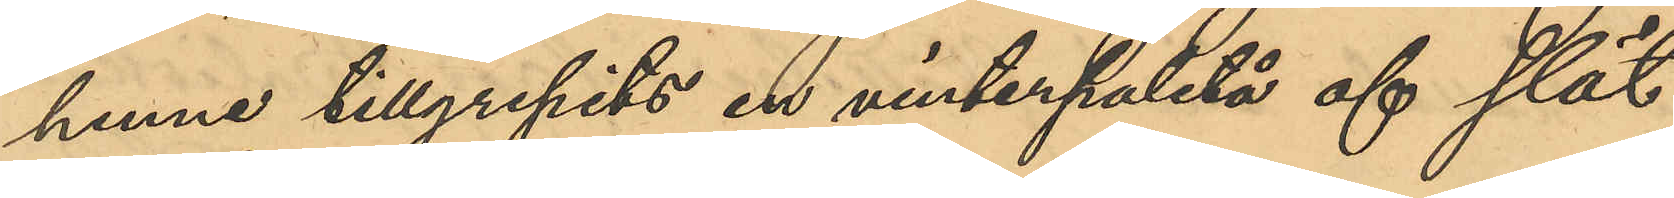henne tillgripits en vinterpaletå af slät
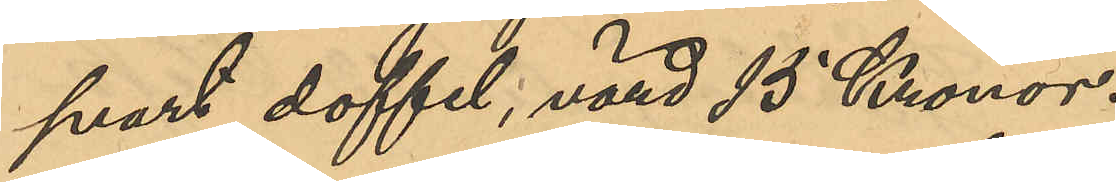svart doffel, värd 15 Kronor.
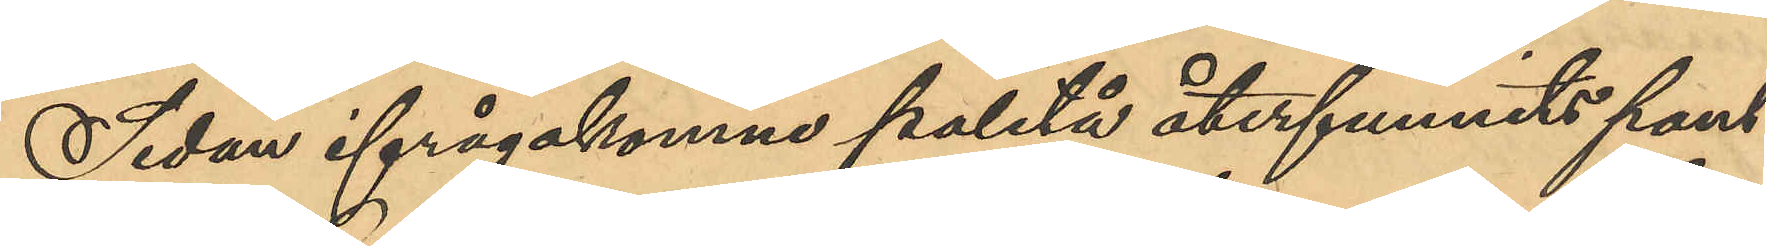Sedan ifrågakomne paletå återfunnits pant¬
